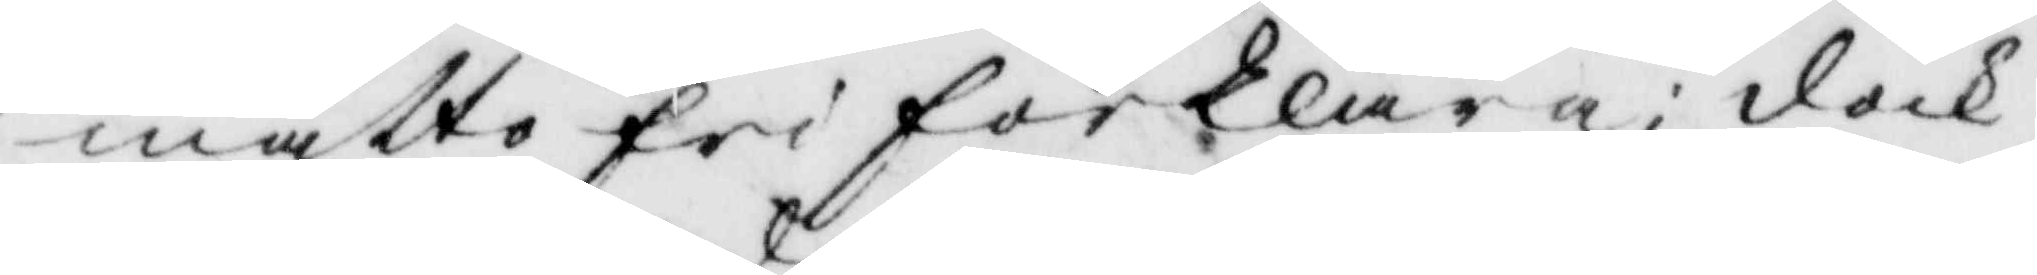måtto fri förklara; dock
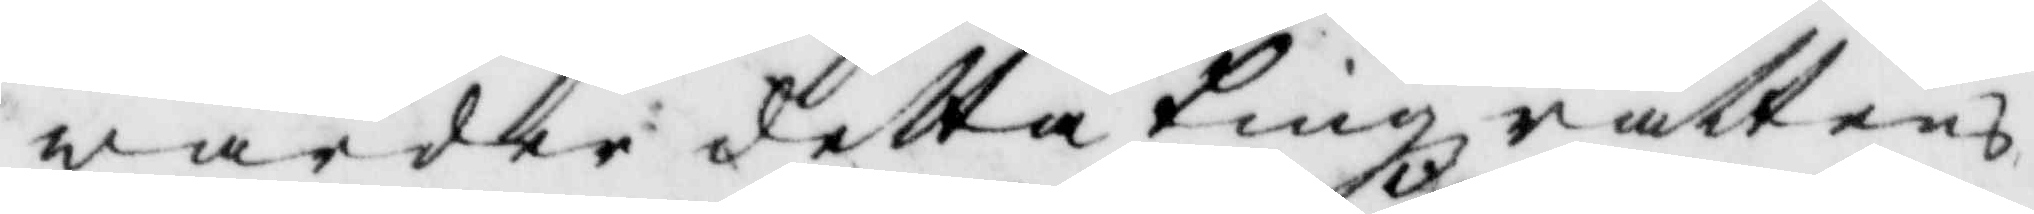warder detta Tingzrättens
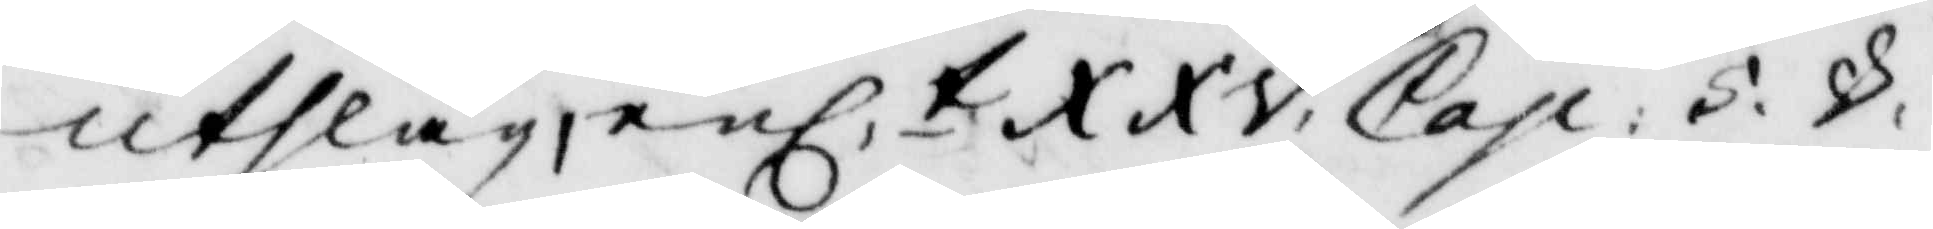utslag enl.t XXV Cap: 5. v.
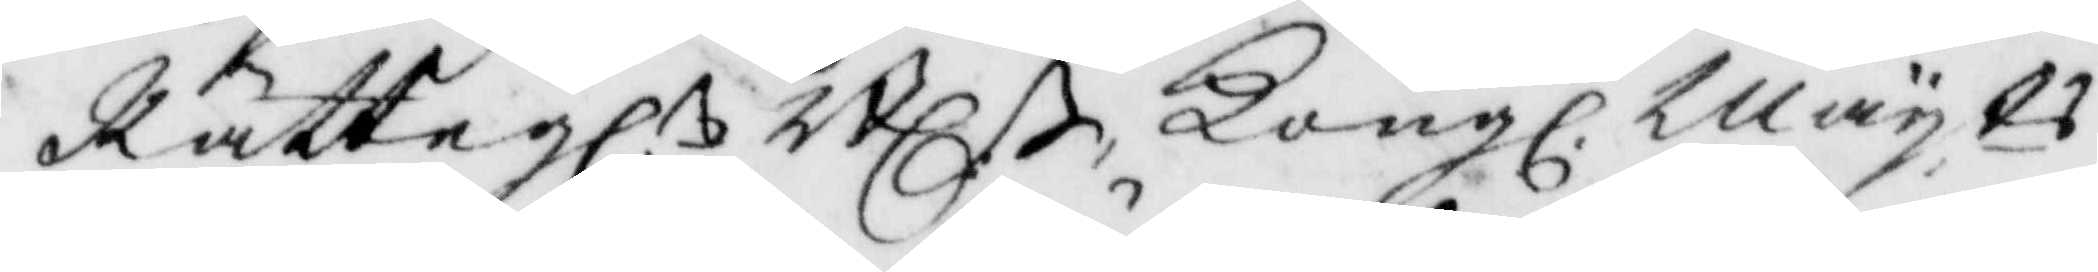Rättegl:n Bl:n Kongl. Mayts
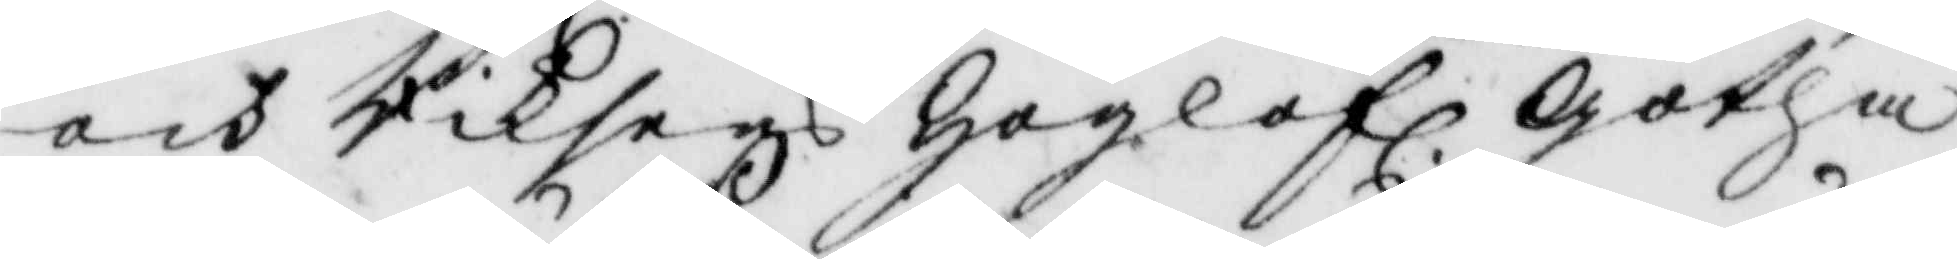och Riksens Höglofl Götha
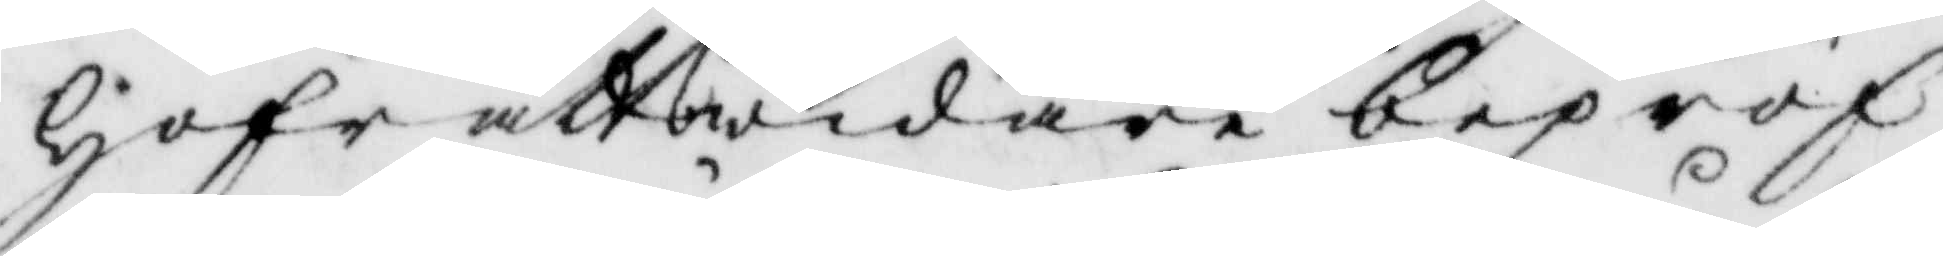Hofrätt widare bepröf¬
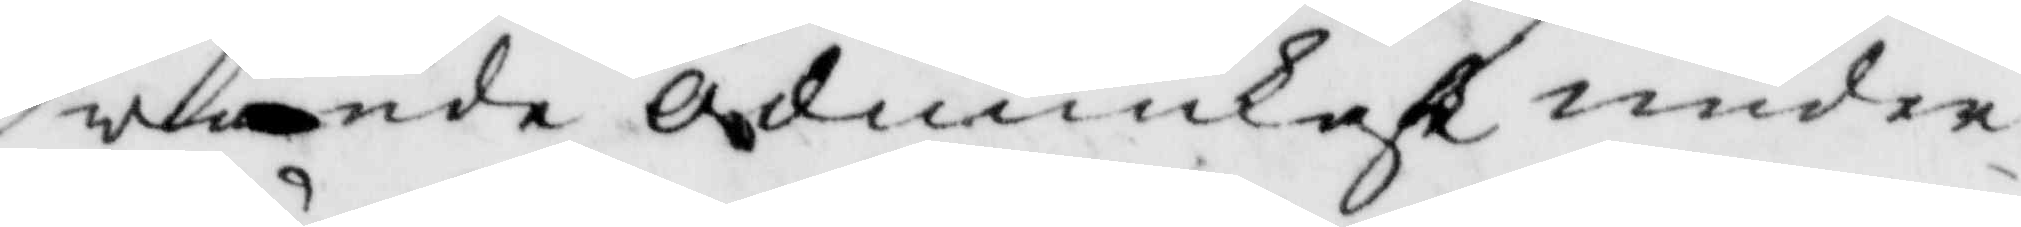wande ödmiukest under¬
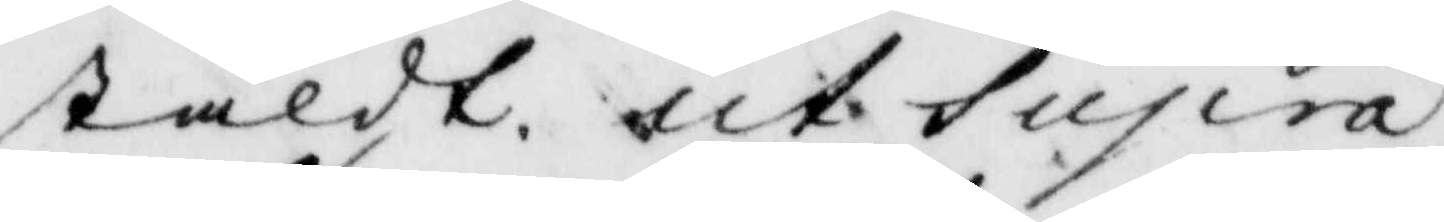stäldt. ut Supra
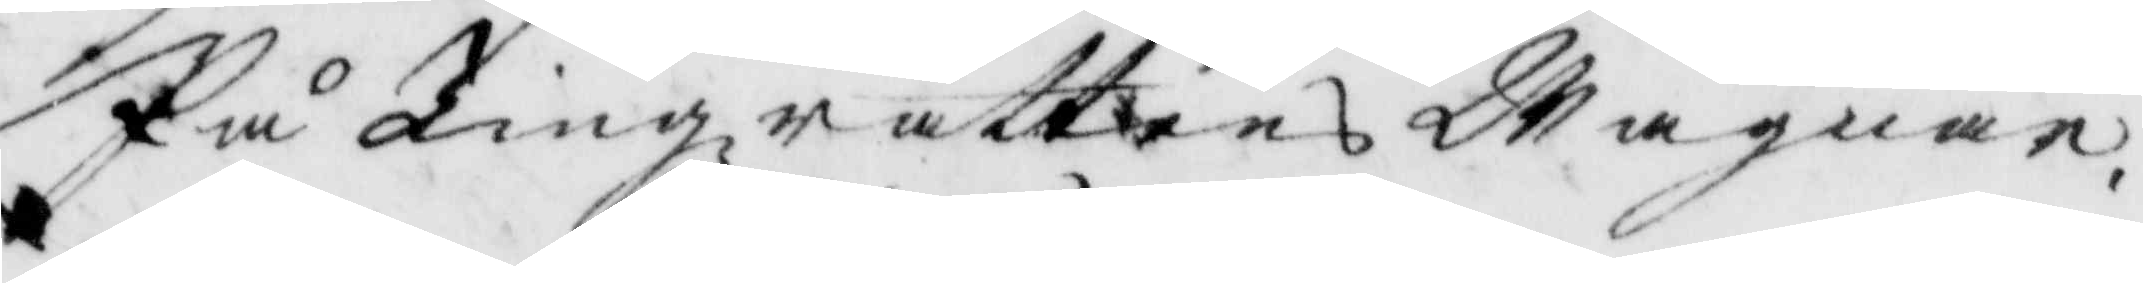På Tingzrättens Wägnar.
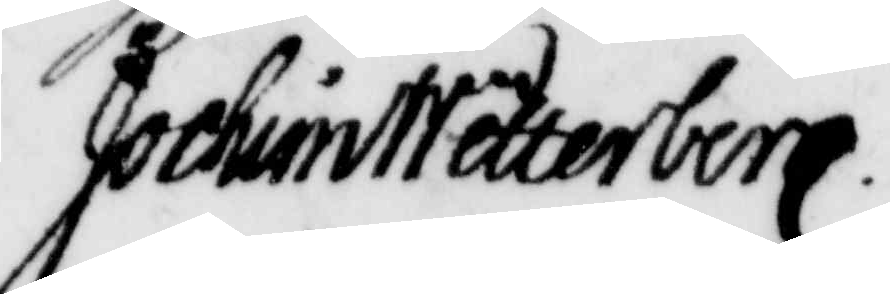Jochim Wäterberg
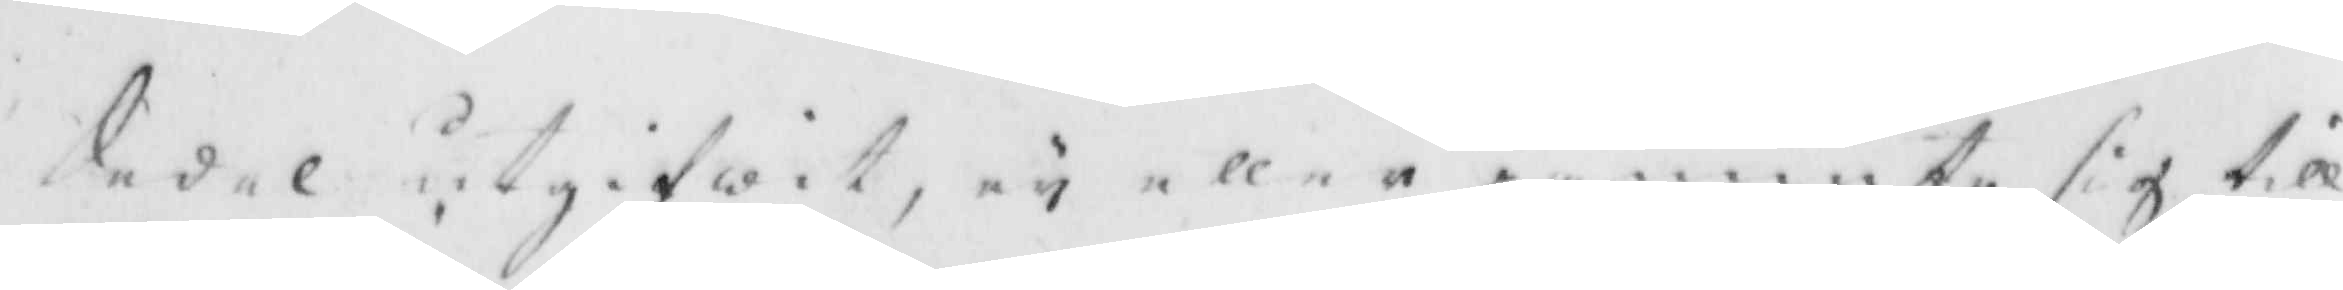Sedel utgifwit, ey eller påminte sig till
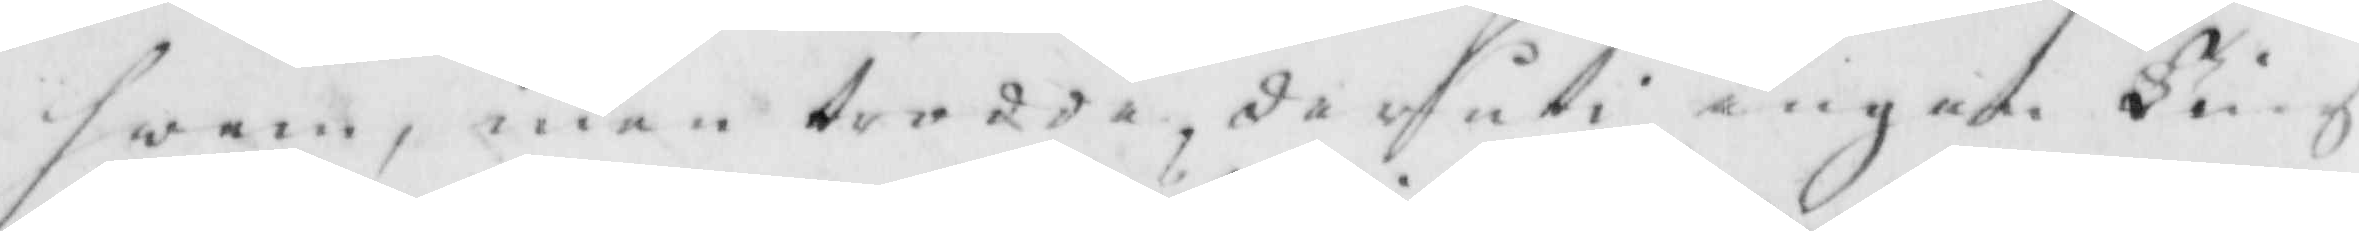hwem, men trodde, der uti ingen Ting
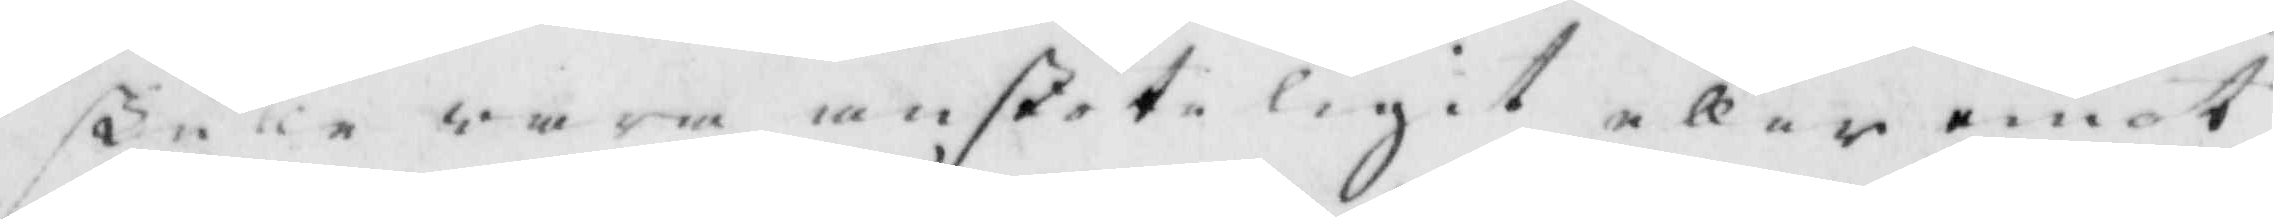skulle wara anstöteligit eller emot
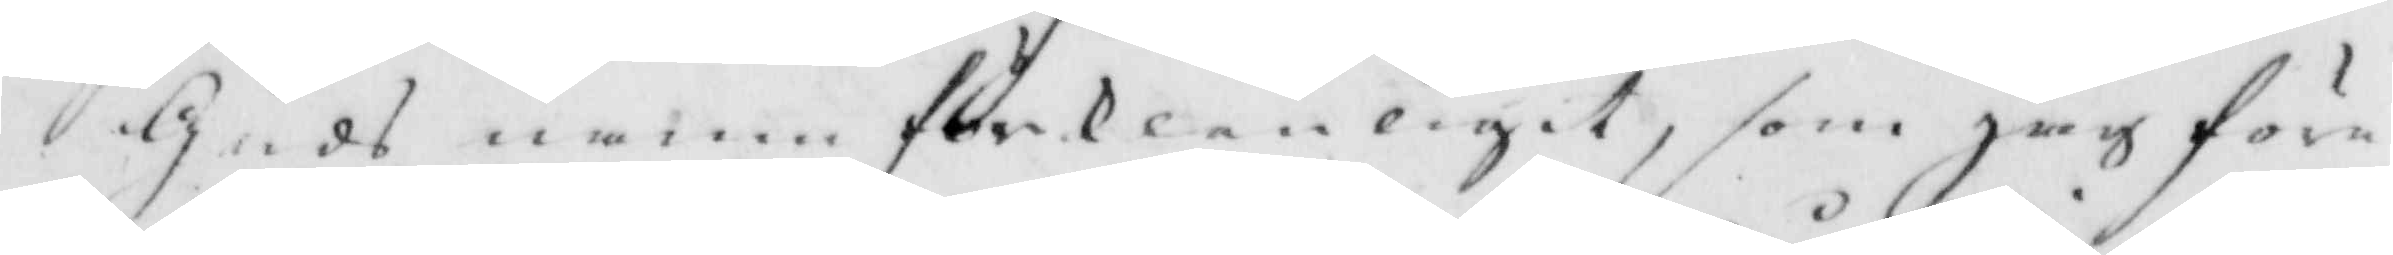Guds namn förklenligit, som jag före¬
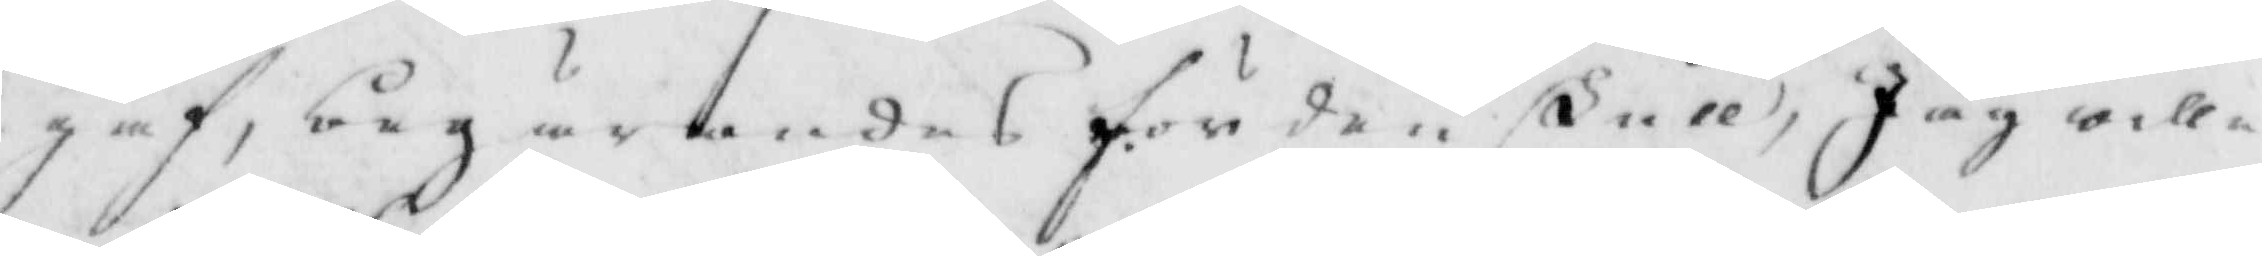gaf, begärandes för den skull, Jag wille
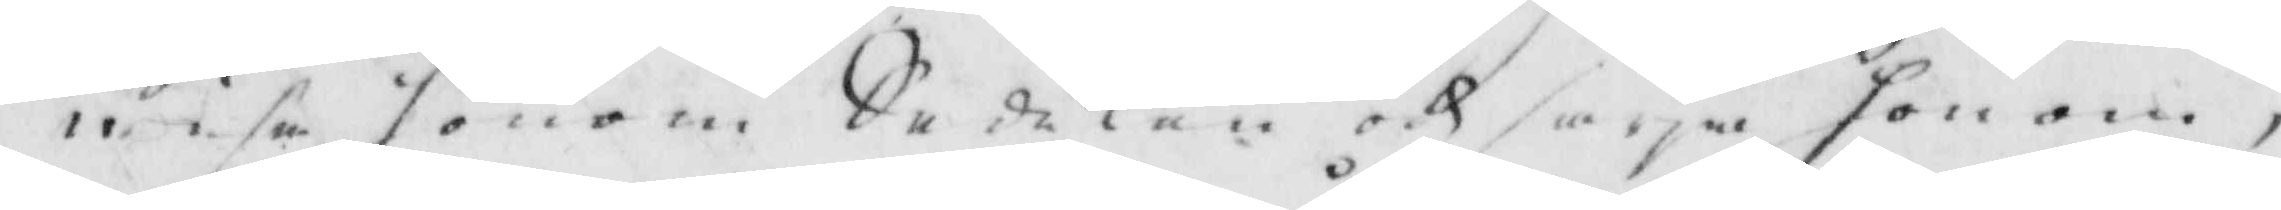wisa honom Sedlen och säga honom,
